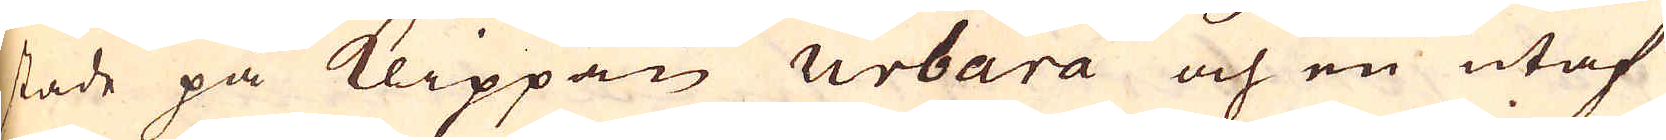stade på Klippan urbara och en utaf
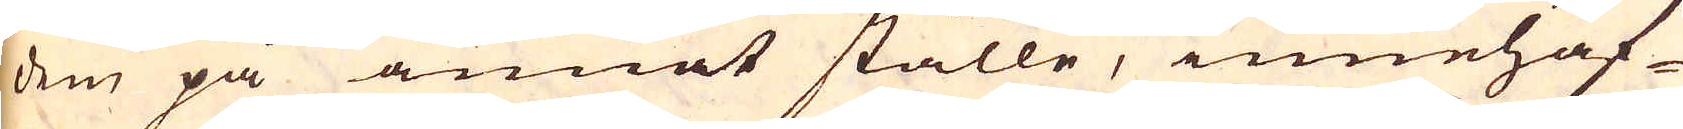dem på annat ställe, innehaf-
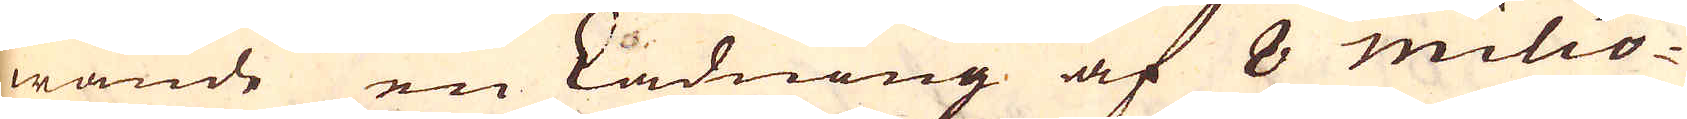wande en Ladning af 8 milio-
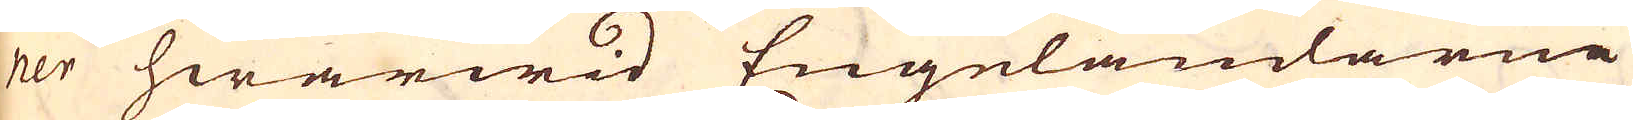ner hwarwid Engeländarne
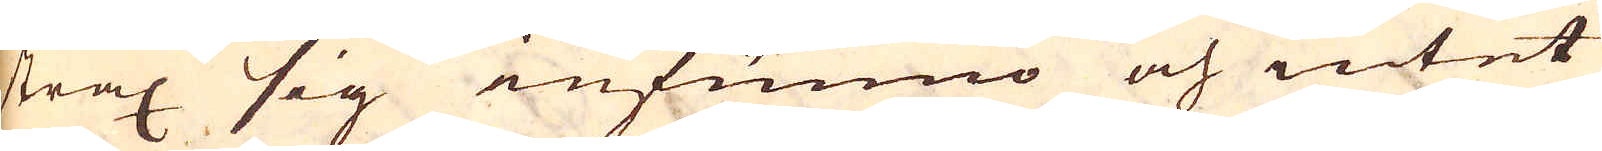strax sig infunno och intet
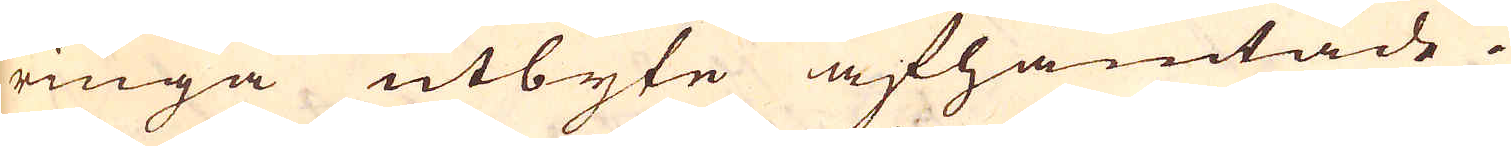ringa utbyte afhämtade
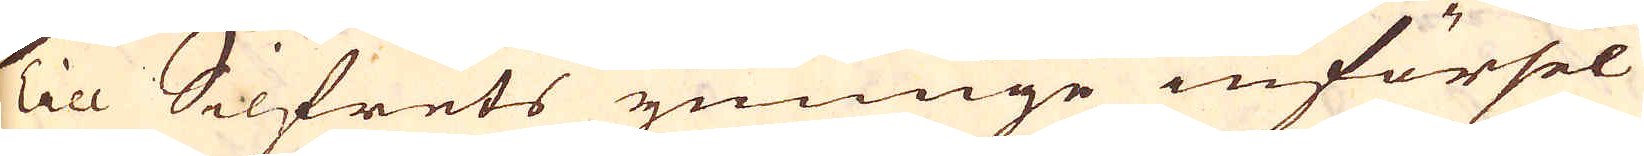Till Silfrets ymnige införsel
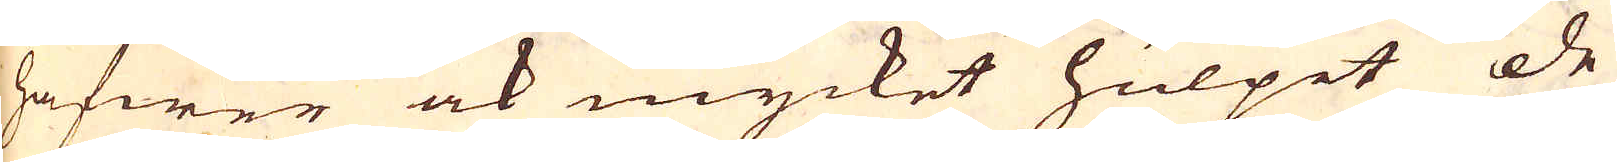hafwer ock mycket hulpit de
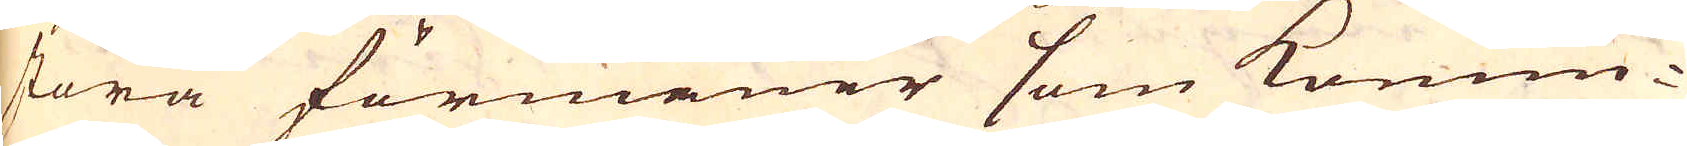stora förmåner som Konun-
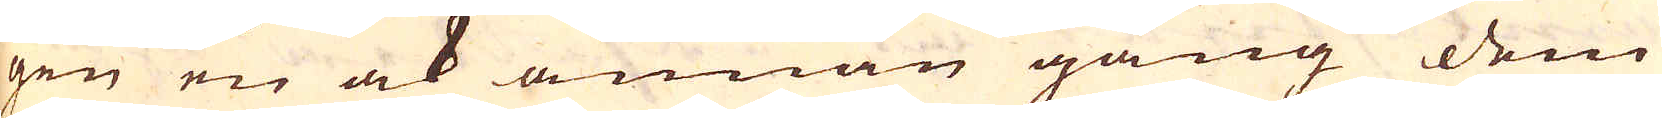gen en ock annan gång dem
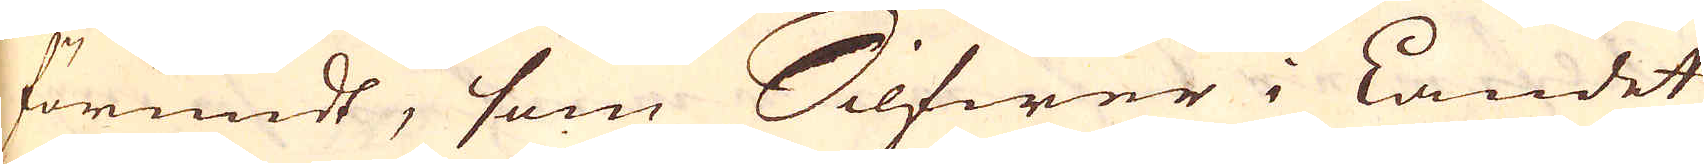förundt, som Silfwer i Landet
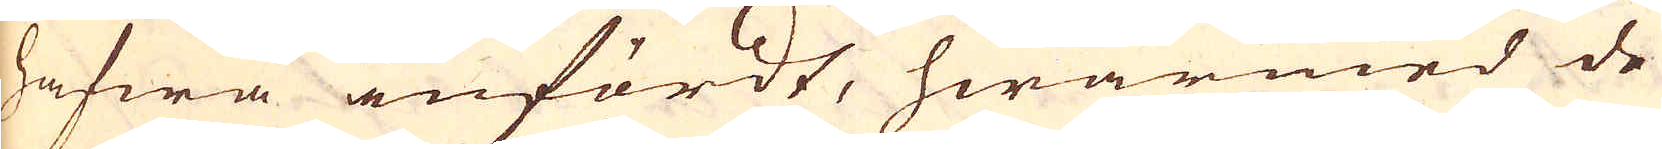hafwa infördt, hwarmed de
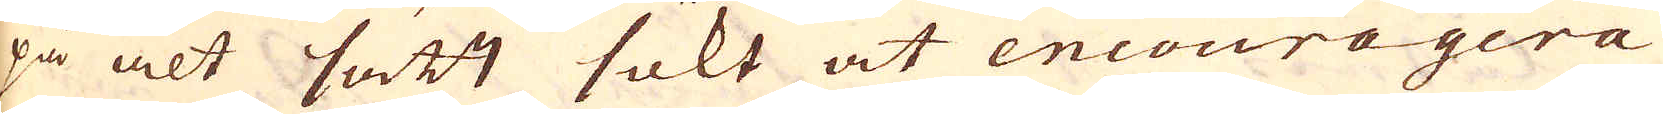på alt sätt sökt at encouragera
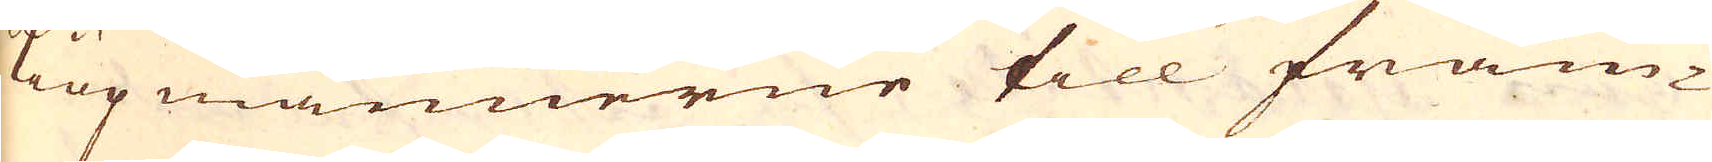Kiöpmännerne till främ-
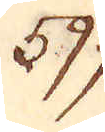599.
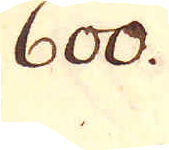600.
